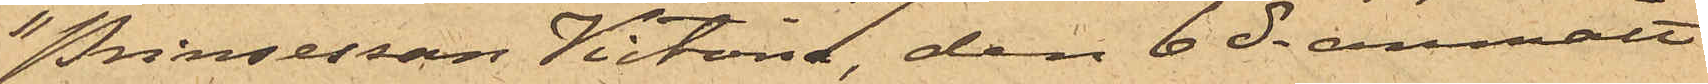"Prinsessan Victoria", den 6 ds anmält
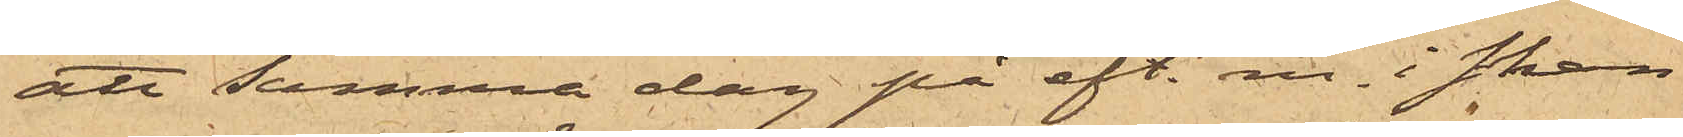att samma dag på eft. m. i skan¬
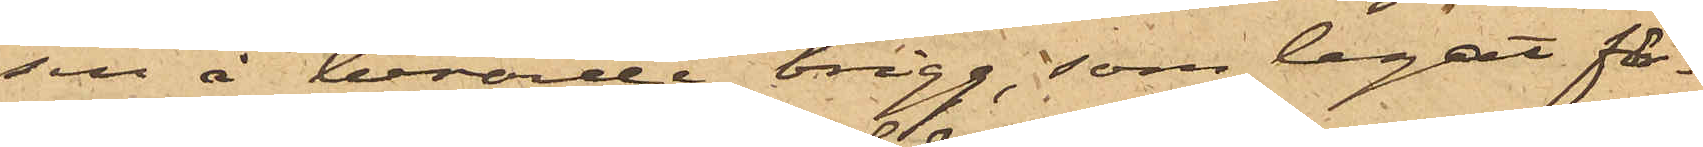sen å berörde brigg, som legat fö¬
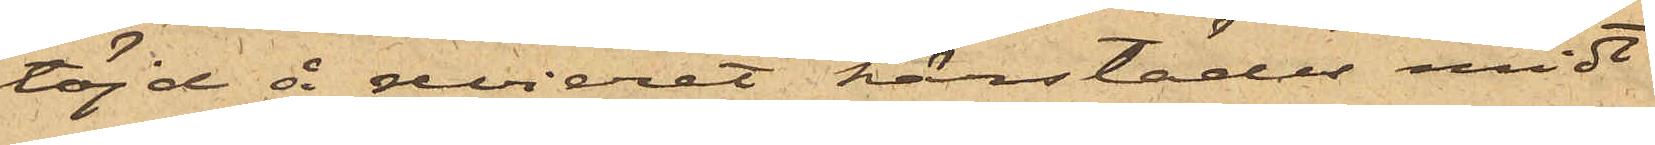töjd å revieret härstädes midt
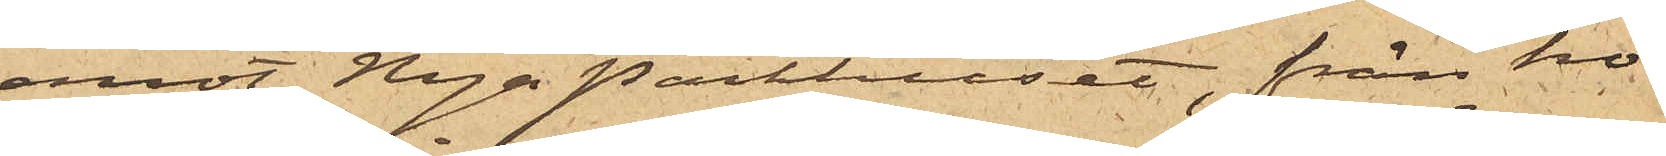emot Nya Packhuset, från ho¬
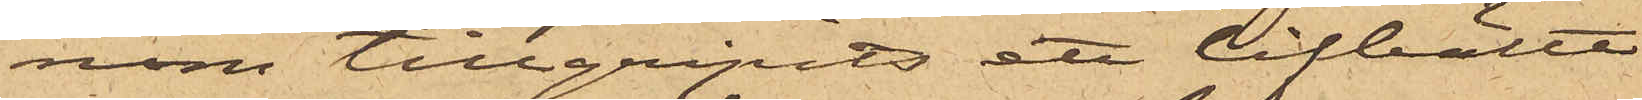nom tillgripits ett lifbälte
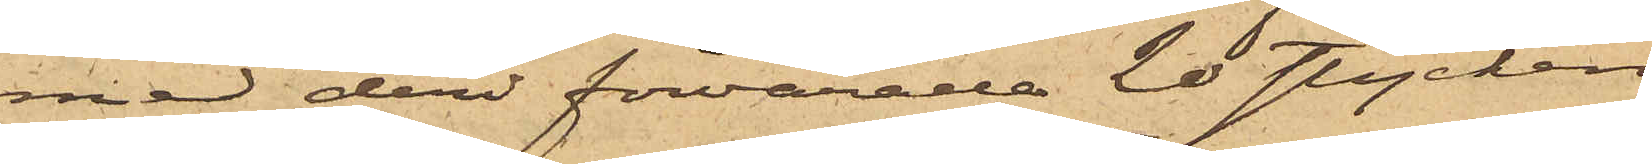med deri förvarade 20 stycken
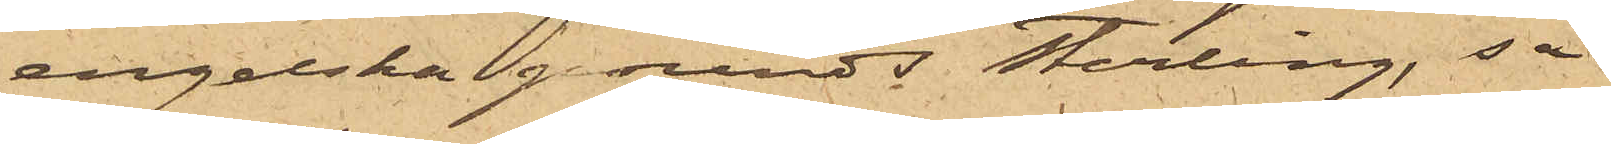engelska pounds Sterling, så
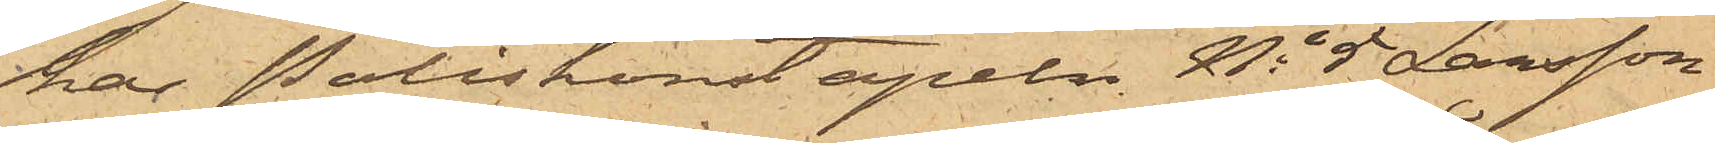har Poliskonstapeln No 5 Larsson
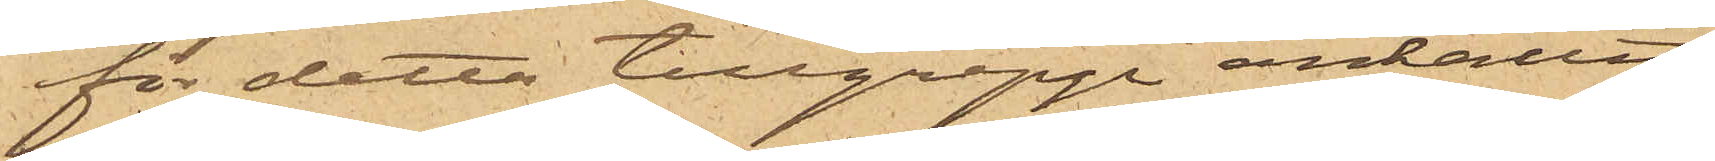för detta tillgrepp anhållit
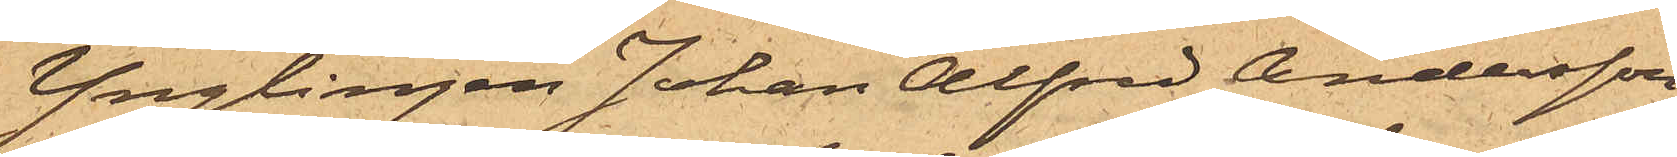Ynglingen Johan Alfred Andersson
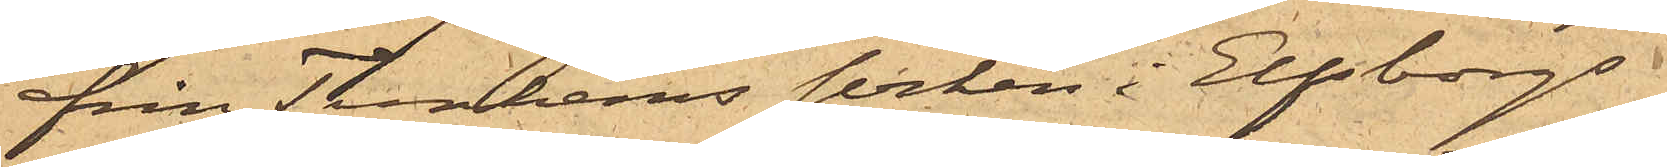från Tunhems socken i Elfsborgs
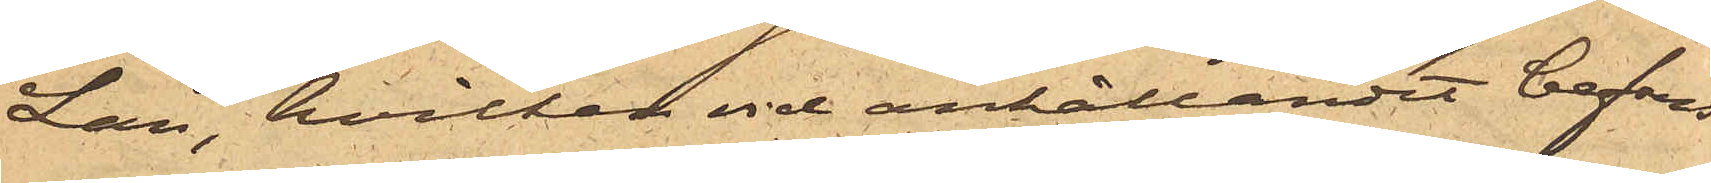Län, hvilken vid anhållandet befans
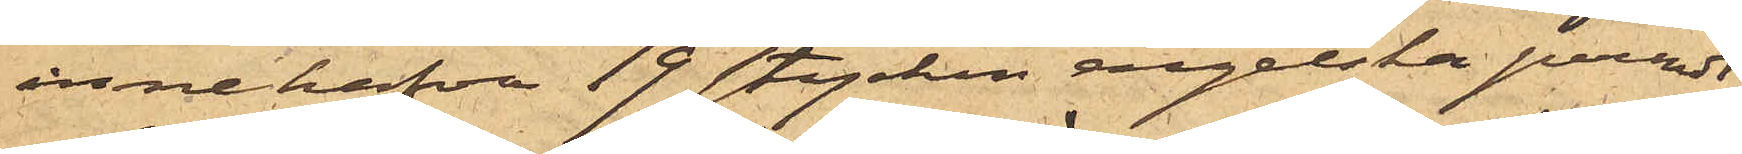innehafva 19 stycken engelska pounds
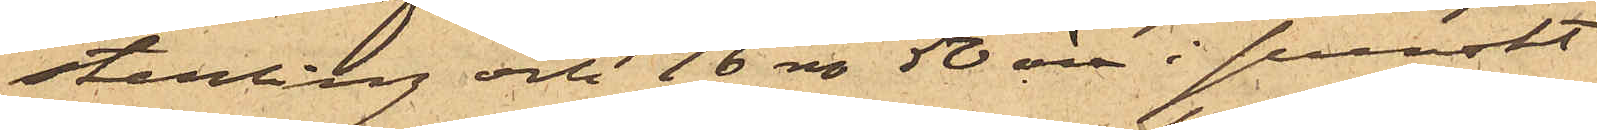sterling och 16 rdr 50 öre i svenskt
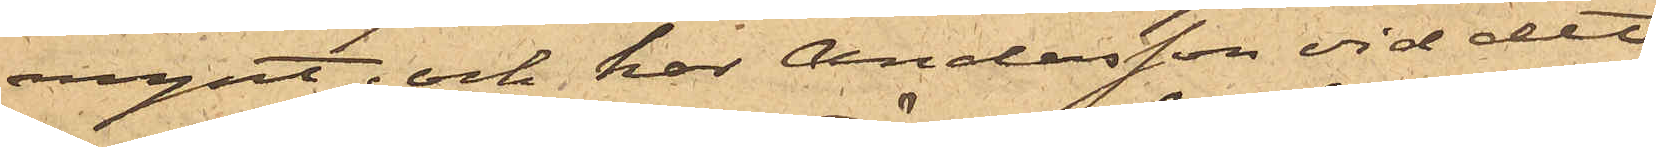mynt; och har Andersson vid det
